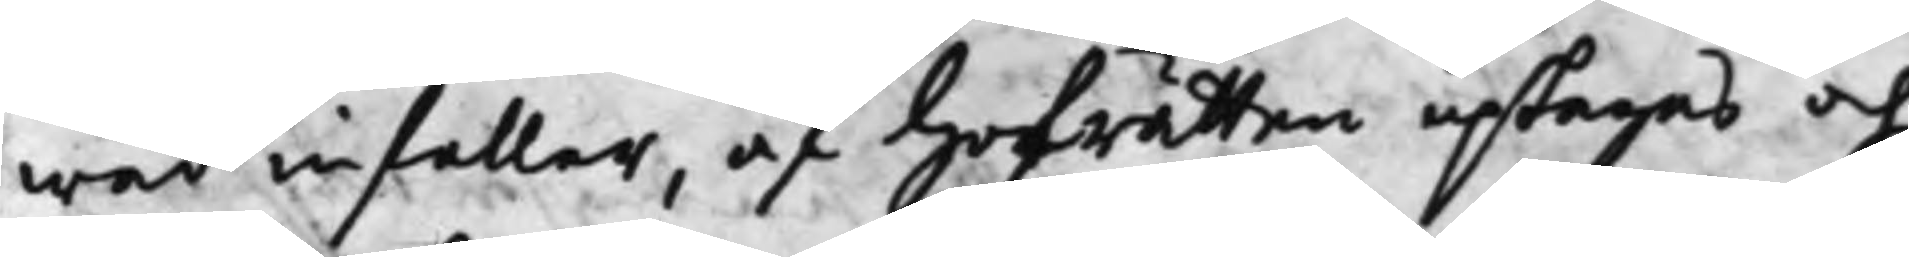wad infaller, af Hofrätten uptagas och
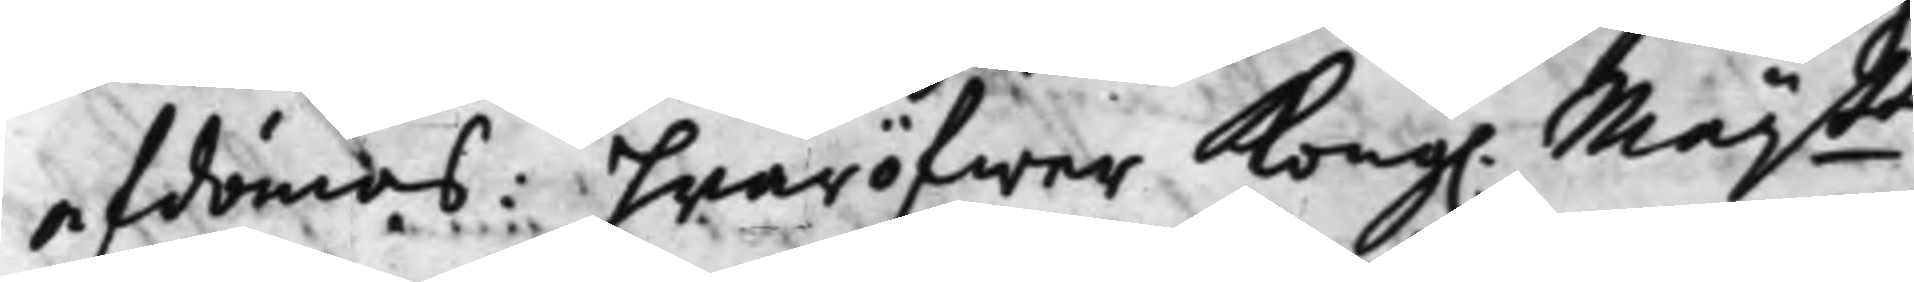afdömas: hwaröfwer Kong. Maij.tt
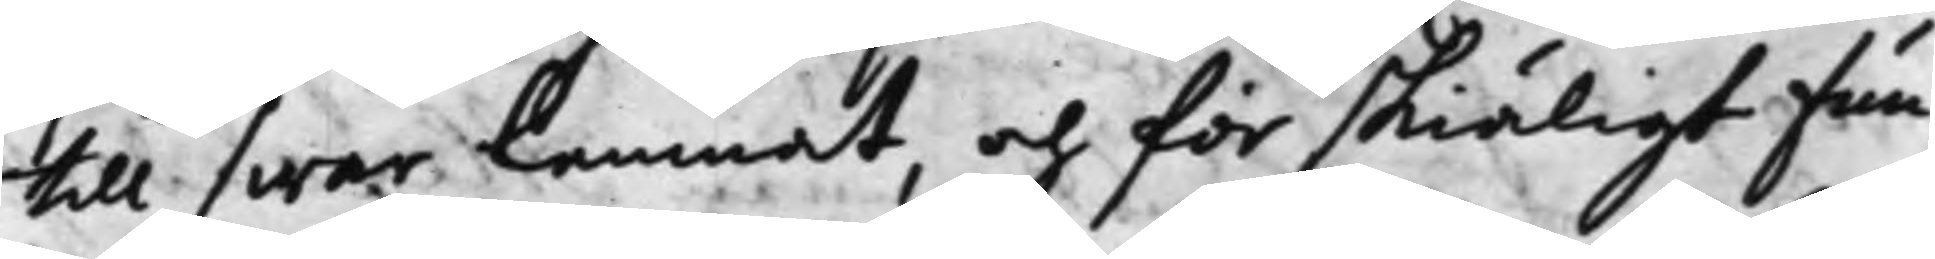till swar lemnat, och för skiäligt fun¬
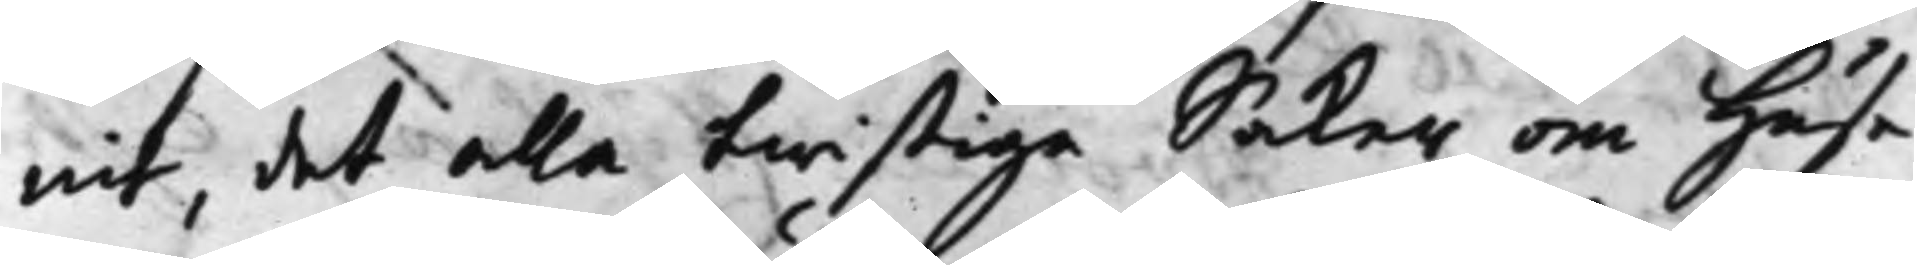nit, det alla twistiga Saker om Huse¬
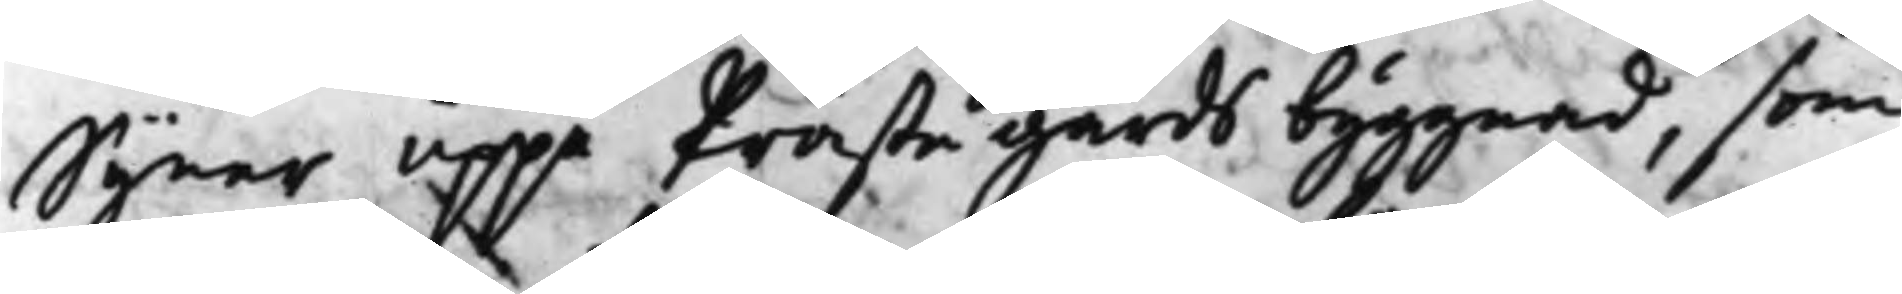Syner uppå Prästegårds byggnad. som
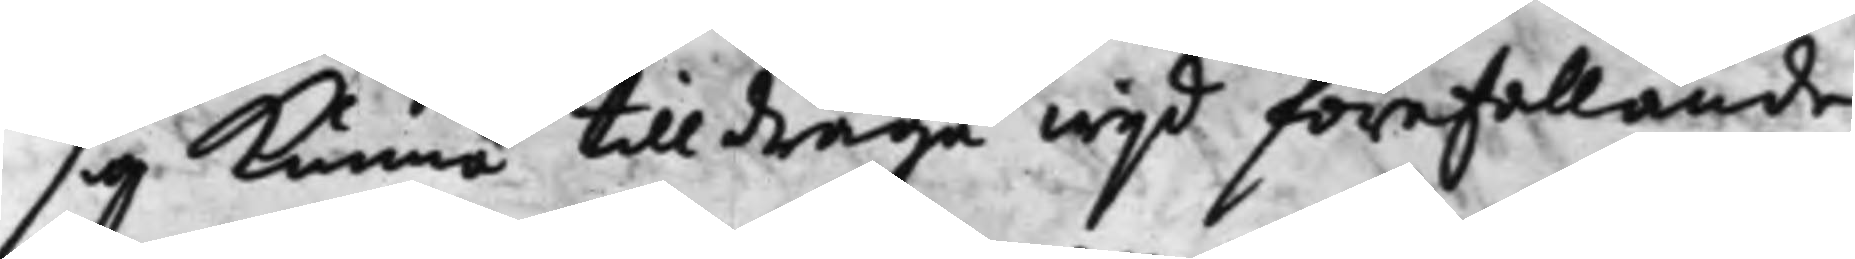sig Kunna tilldraga wijd förefallande
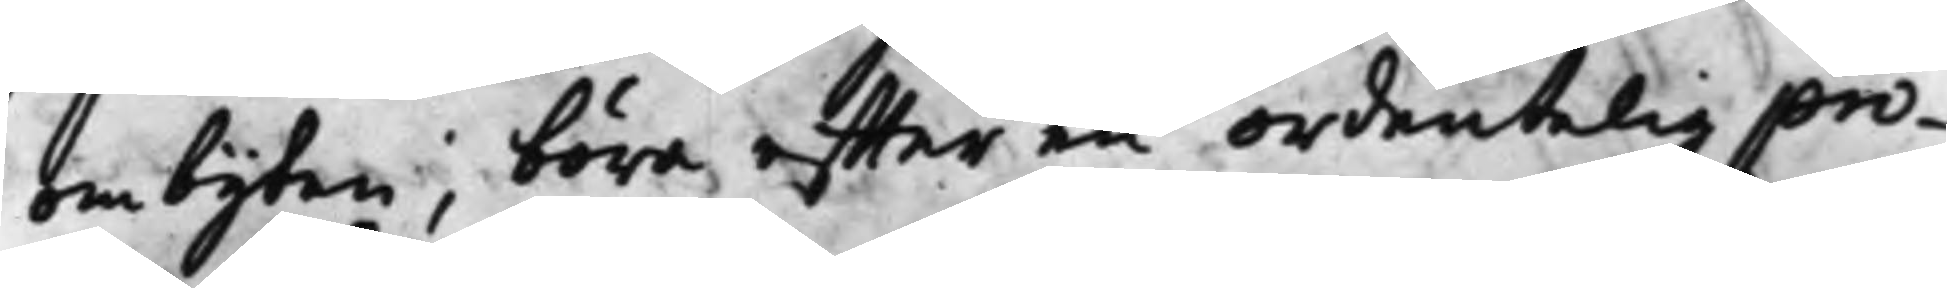ombyten, böra effter en ordentelig pro¬
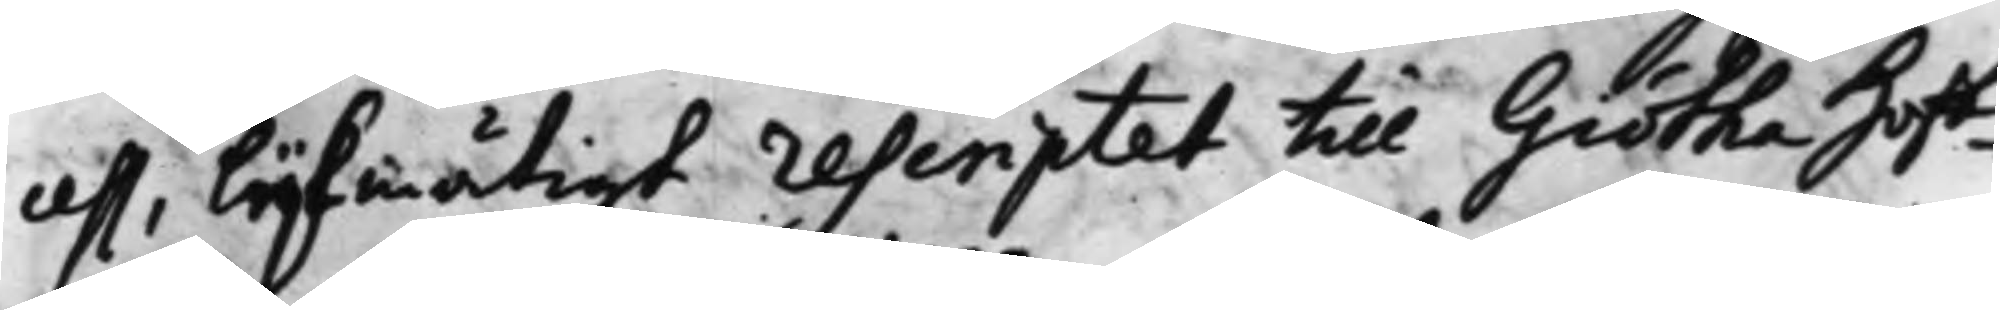cess, lijkmätigt rescriptet till Giötha Hoff¬
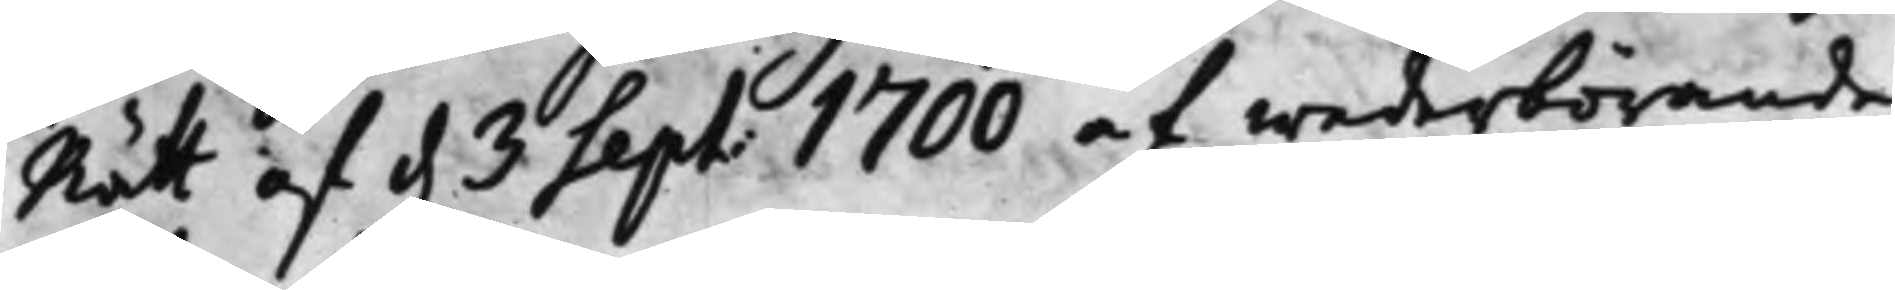Rätt af d. 3 Sept. 1700 af wederbörande
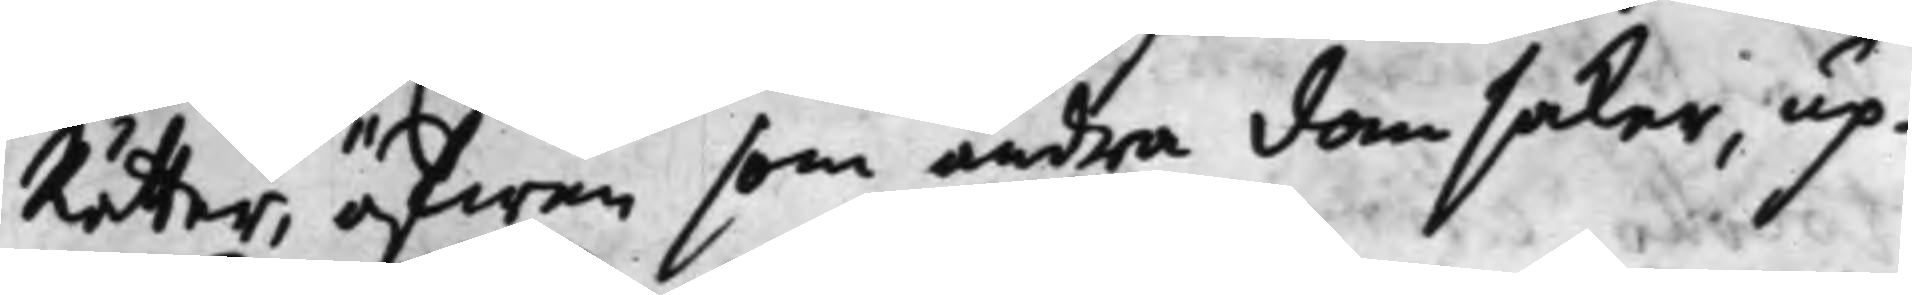Rätter, äfwen som andra domsaker, up¬
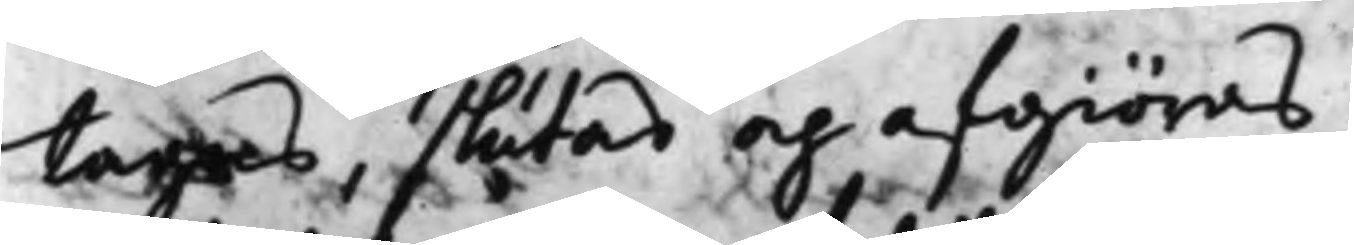tagas, slutas och afgiöras.
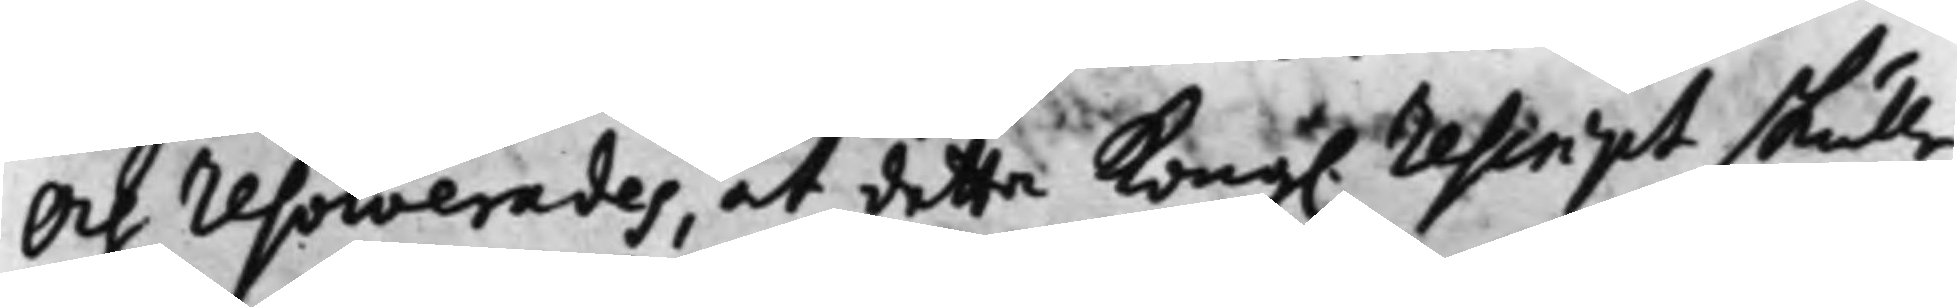Och resolverades, at detta Kong. rescript skulle
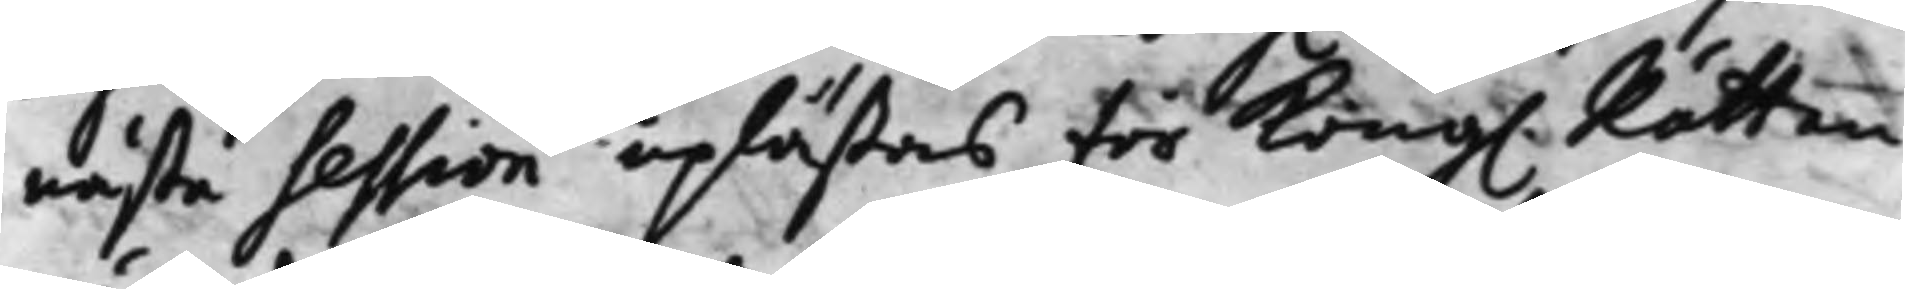nästa session upläßas för Kong. Rätten
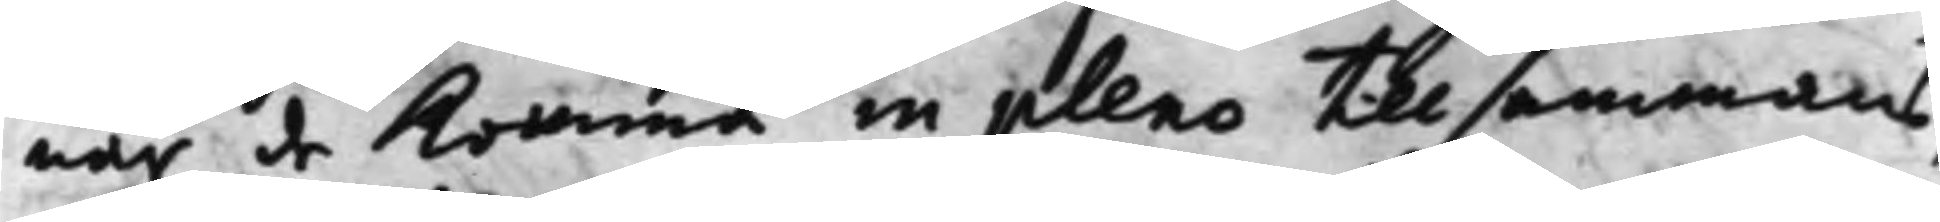när de Komma in pleno Tillsammans,
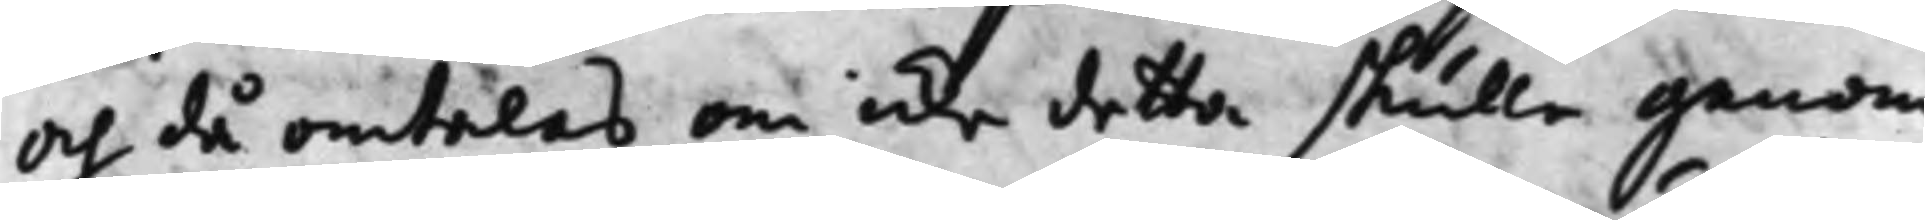och då omtalas om icke detta skulle genom
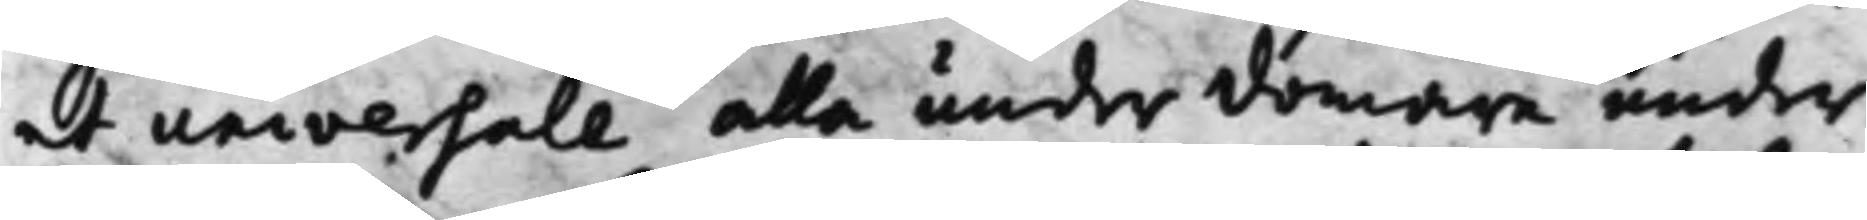et universale alla underdomare under
